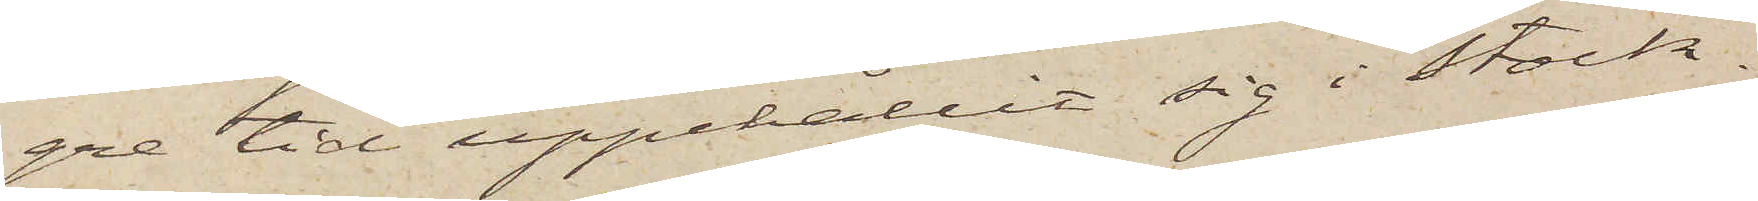gre tid uppehållit sig i Stock¬
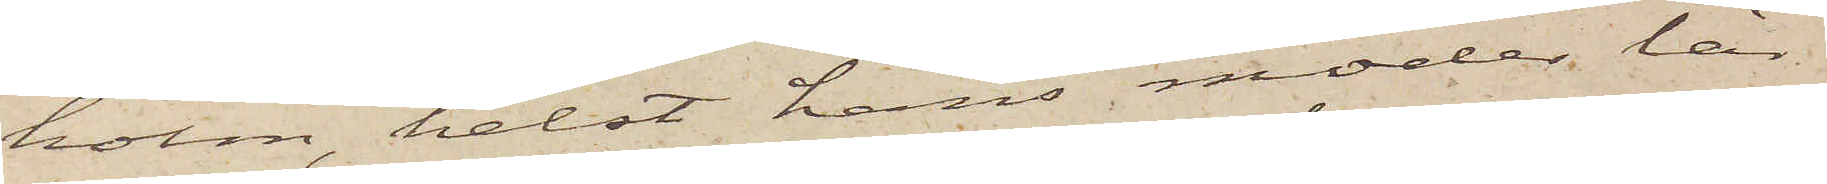holm, helst hans moder lär
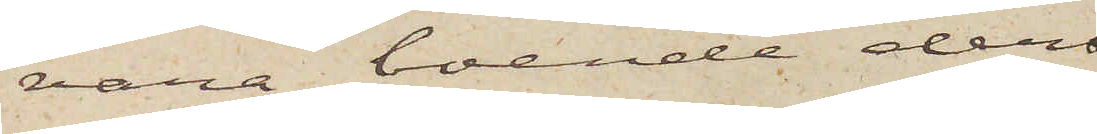vara boende der
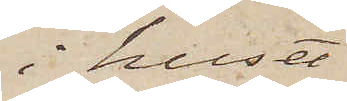i huset
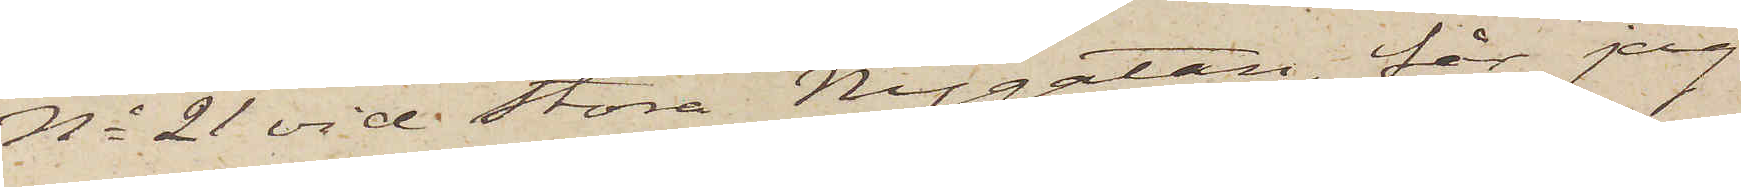No 21 vid Stora Nygatan, får jag
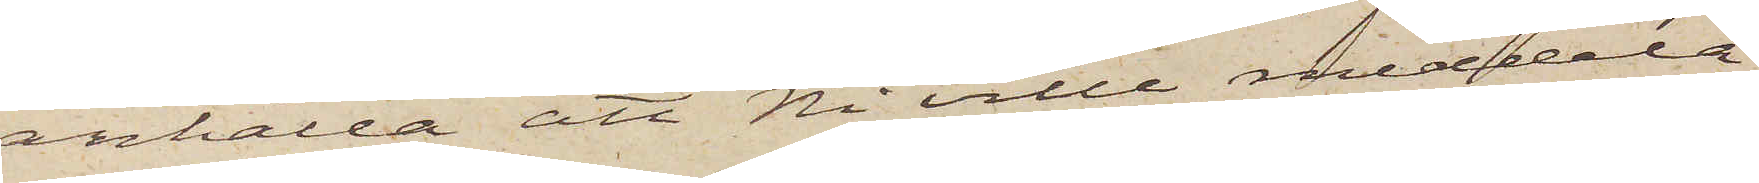anhålla att Ni ville meddela
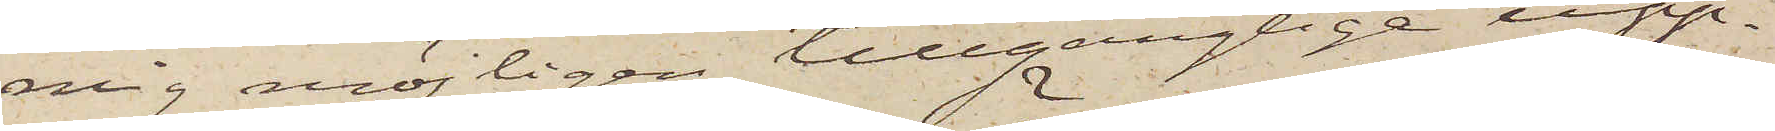mig möjligen tillgänglige upp¬
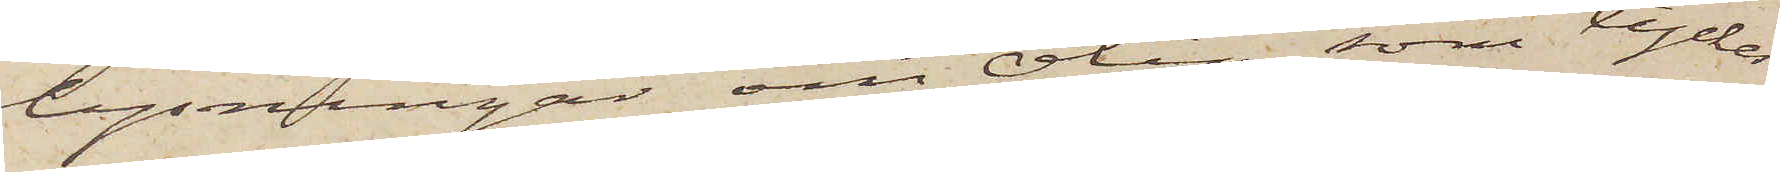lysningar om Ölin, som tyckes
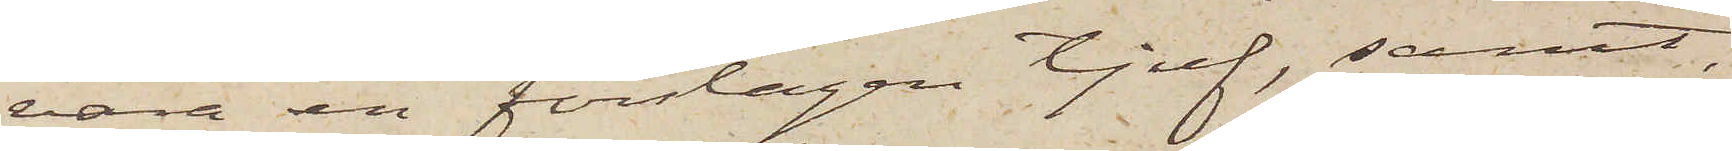vara en förslagen tjuf, samt,
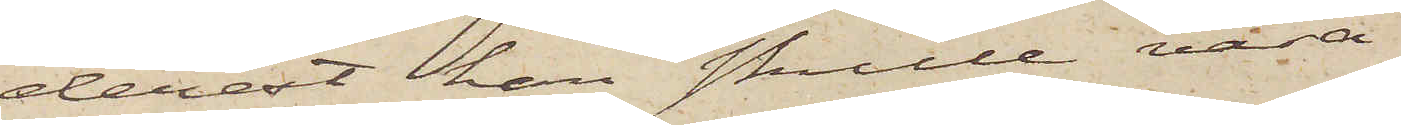derest han skulle vara
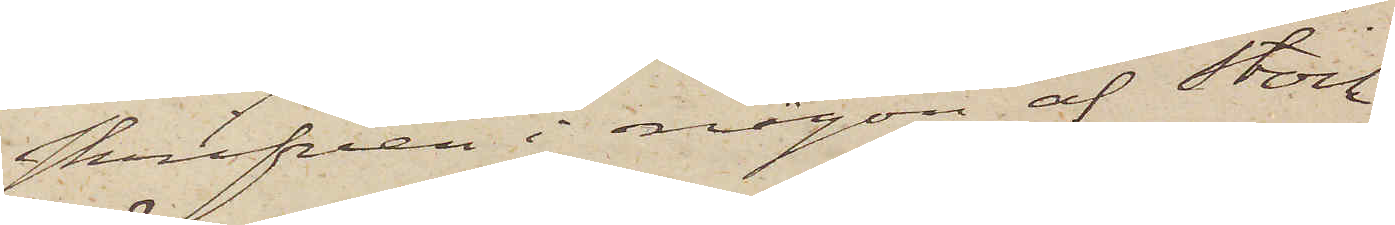skrifven i någon af Stock¬
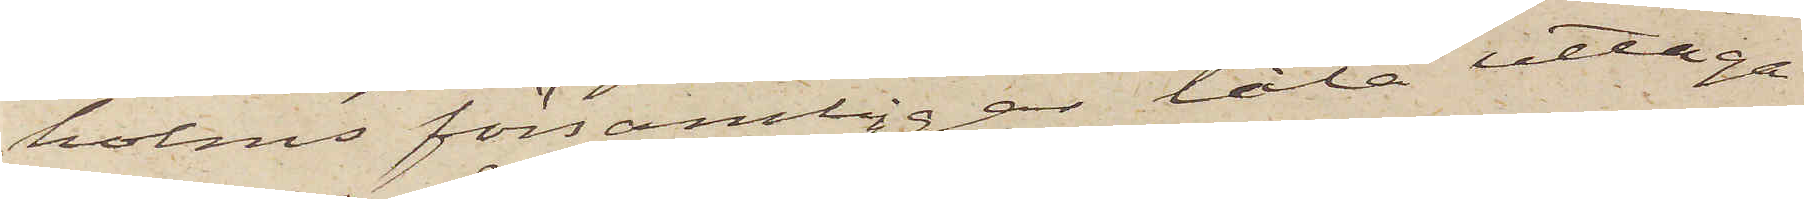holms församlingar låta uttaga
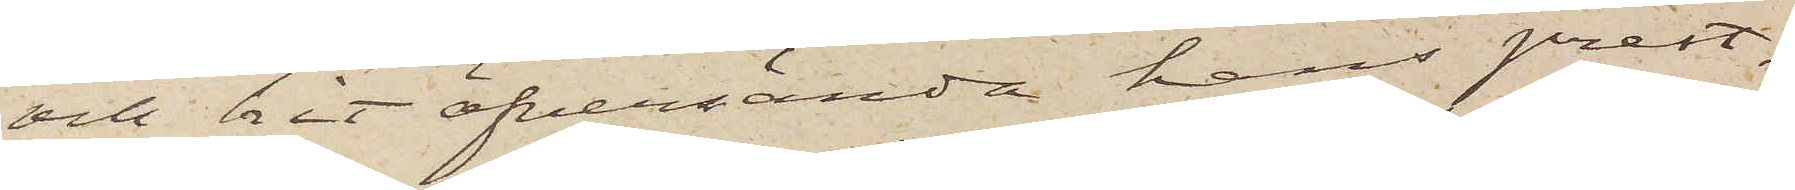och hit öfversända hans prest¬
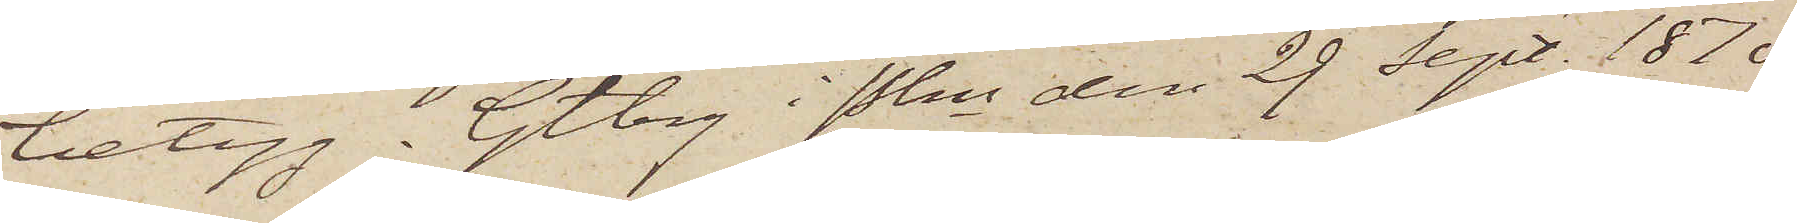betyg. Gtbrg i Pkn den 29 Sept. 1870
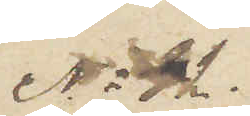No 32.
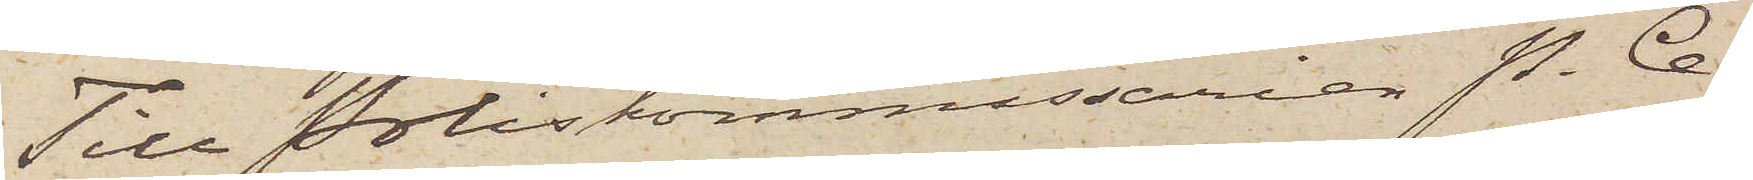Till Poliskommissarien P. Ce¬
